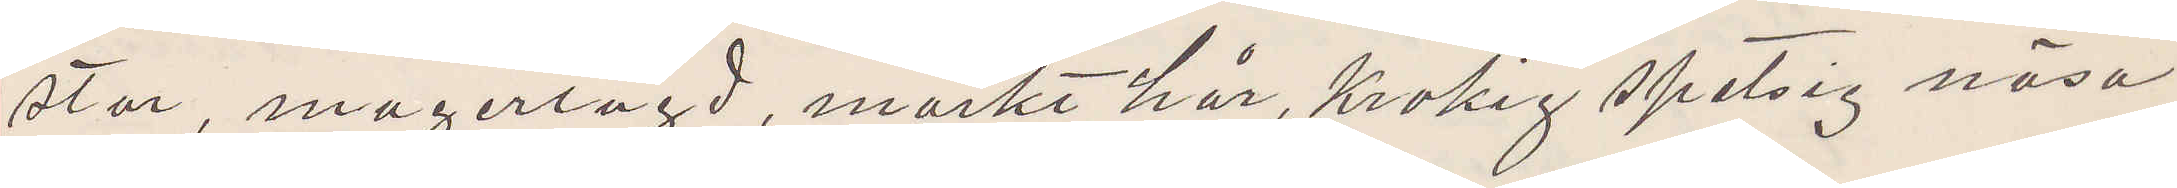stor, magerlagd, mörkt hår, krokig spetsig näsa
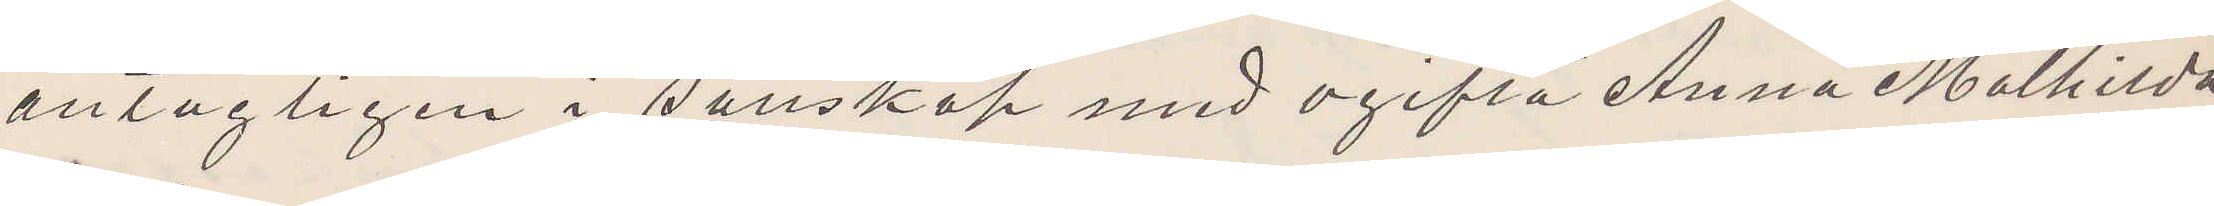antagligen i sällskap med ogifta Anna Malhilda
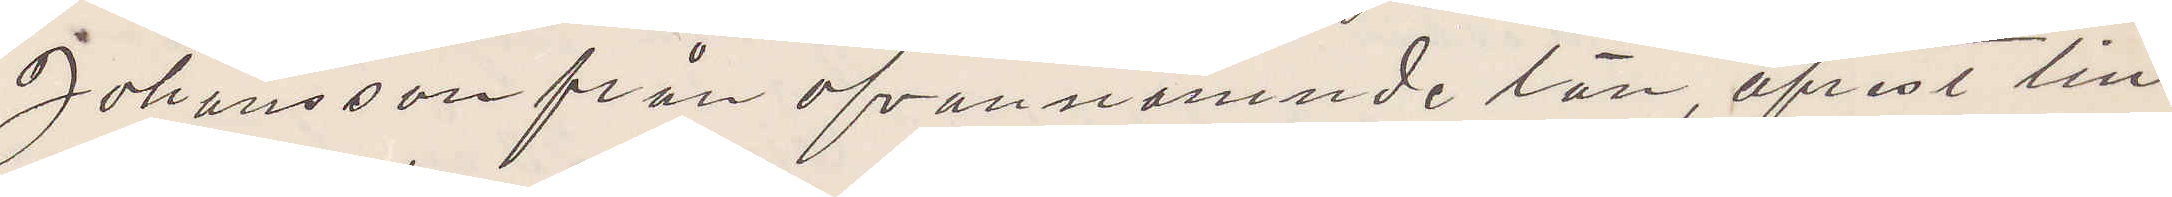Johansson från ofvannämnde län, afrest till
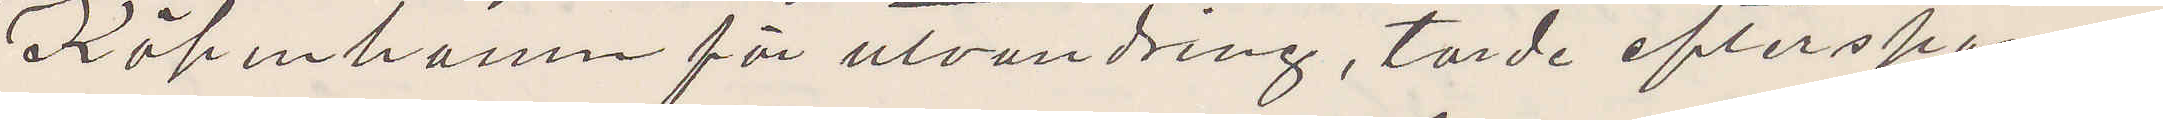Köpenhamn för utvandring, torde efterspanas
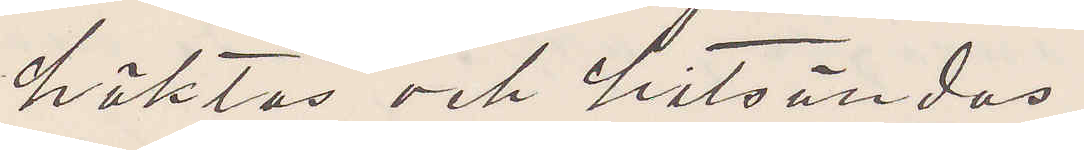häktas och hitsändas.
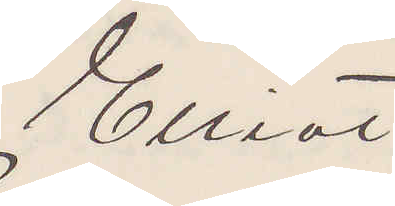Elliot
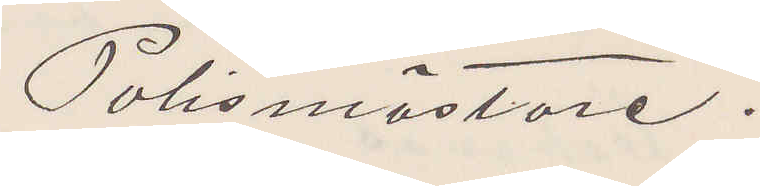Polismästare.
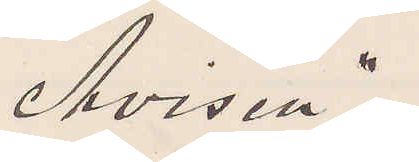"Avisen"
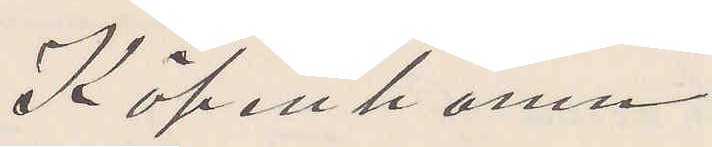Köpenhamn
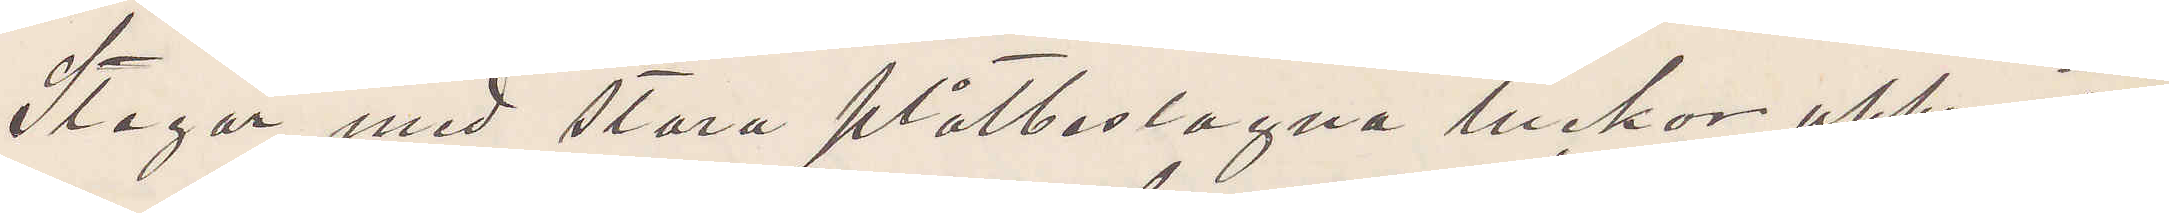Stegar med stora plåtbeslagna luckor uppresta
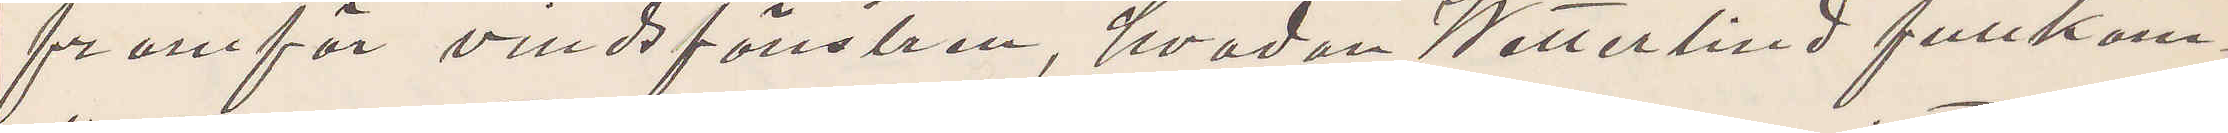framför vindsfönstren, hvadan Wetterlind fullkom¬
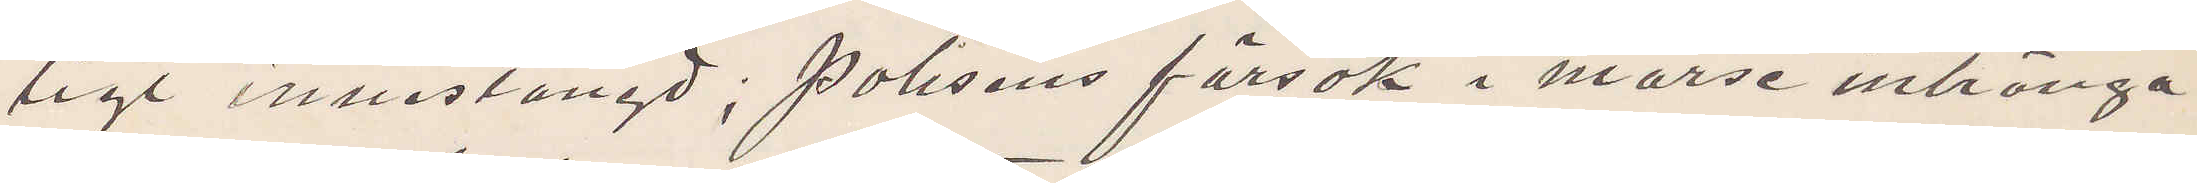ligt innestängd; polisens försök i morse intränga
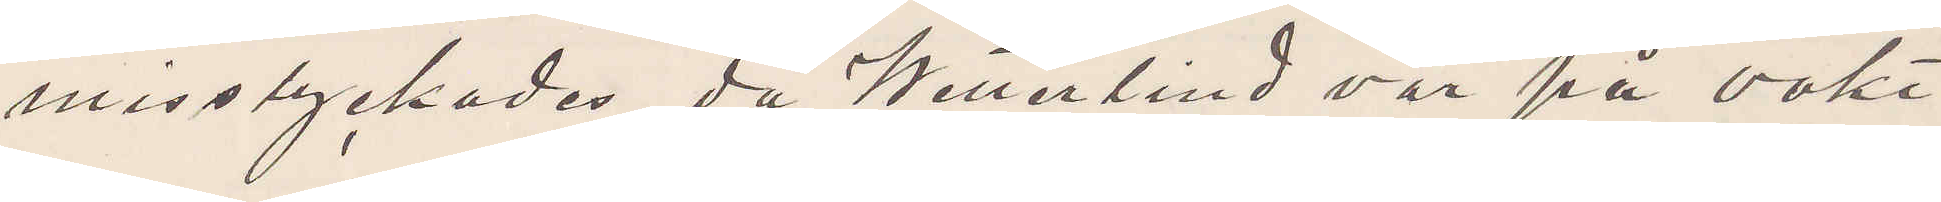misslyckades då Wetterlind var på vakt.
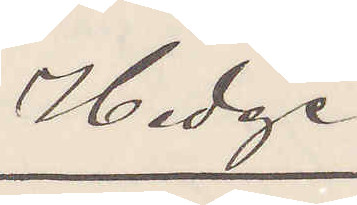Hedge
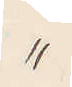"
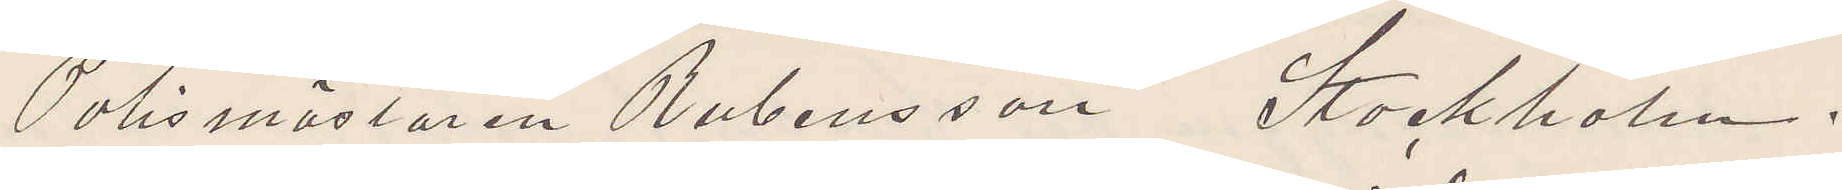Polismästaren Rubensson, Stockholm.
